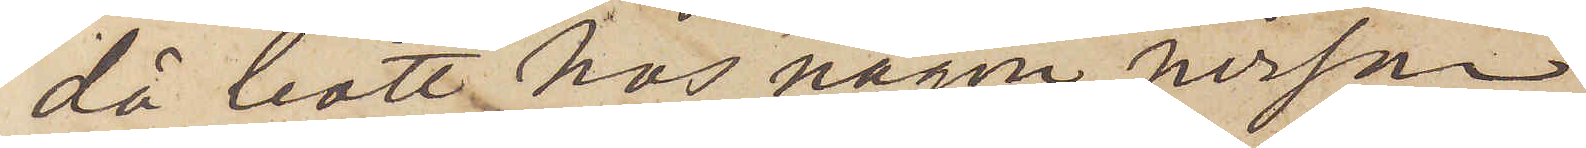då bott hos någon person
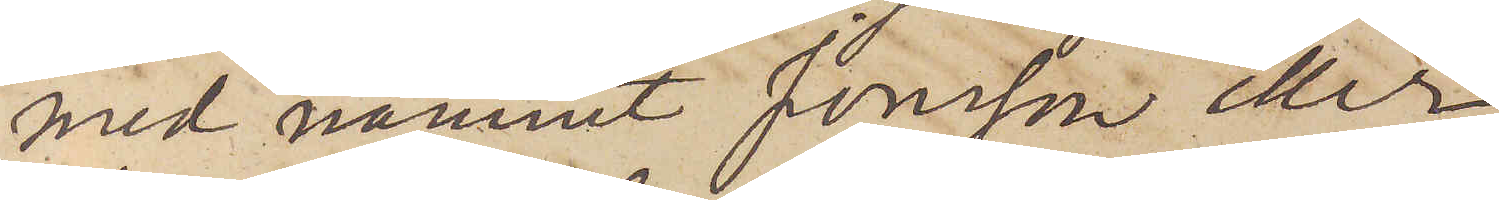med namnet Jonsson eller
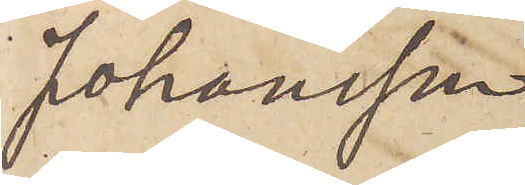Johansson,
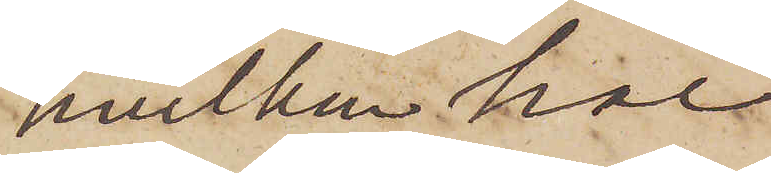hvilken har
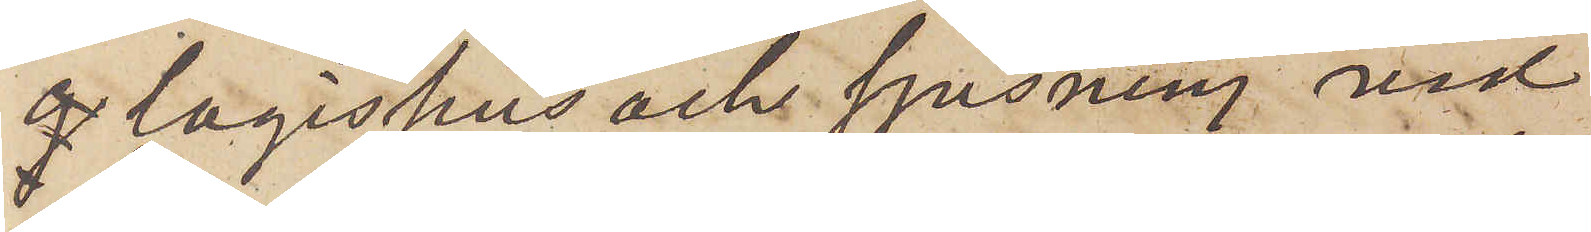 logishus och spisning vid
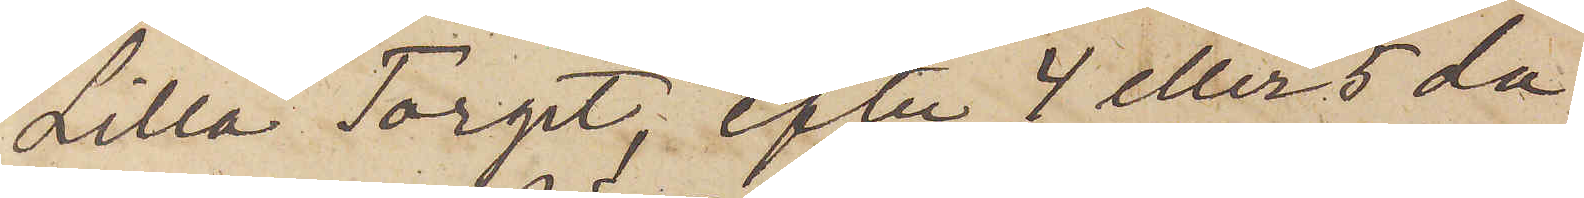Lilla Torget, efter 4 eller 5 da¬
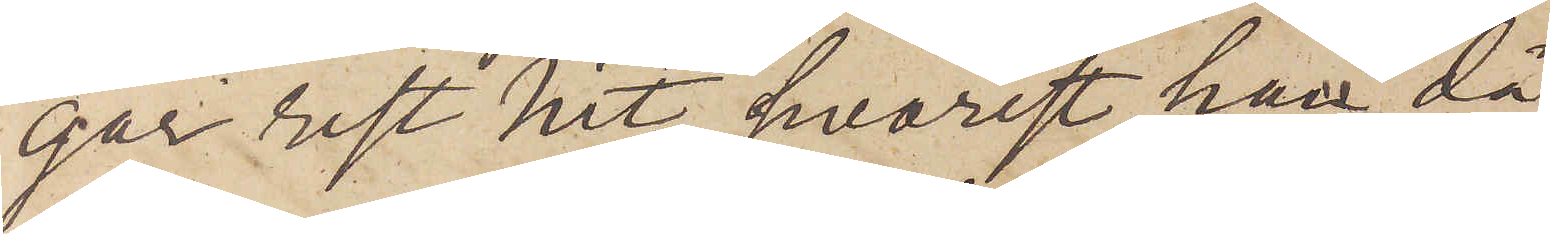gar rest hit, hvarest han då
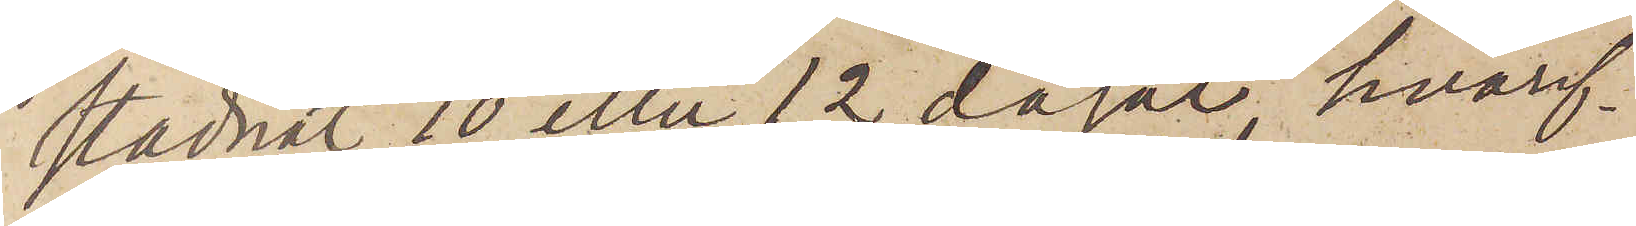stadnat 10 eller 12 dagar, hvaref¬
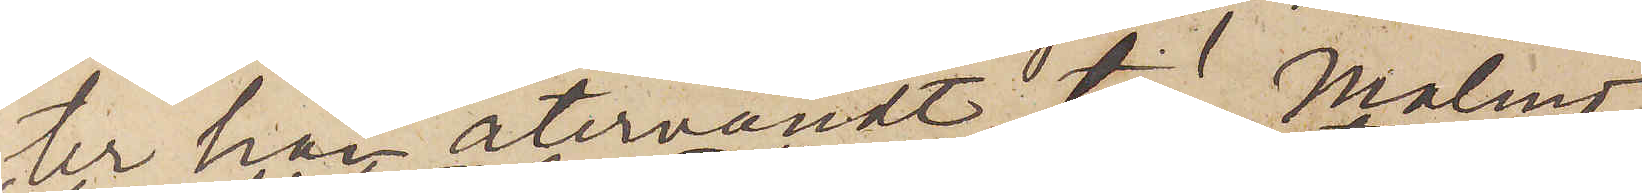ter han återvändt till Malmö
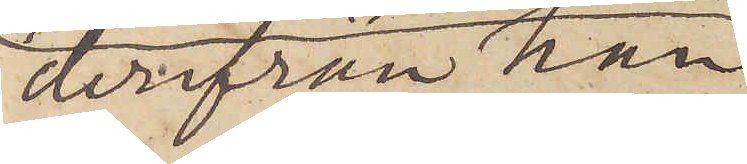derifrån han
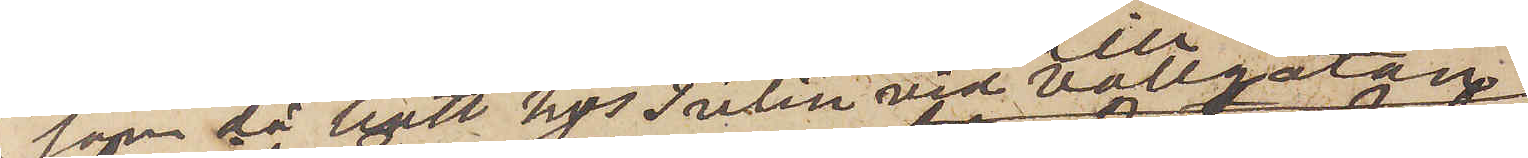som då bott hos Tulin vid Vallgatan,
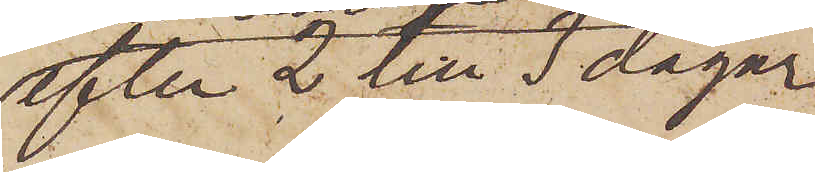efter 2 till 3 dagar
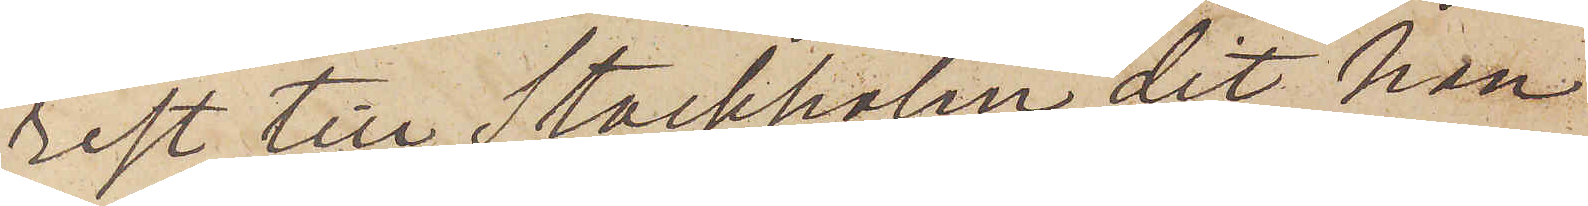rest till Stockholm dit han
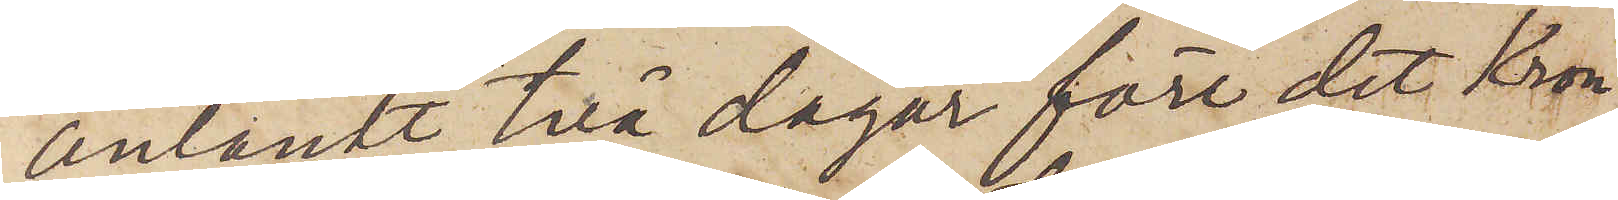anländt två dagar "före det Kron¬
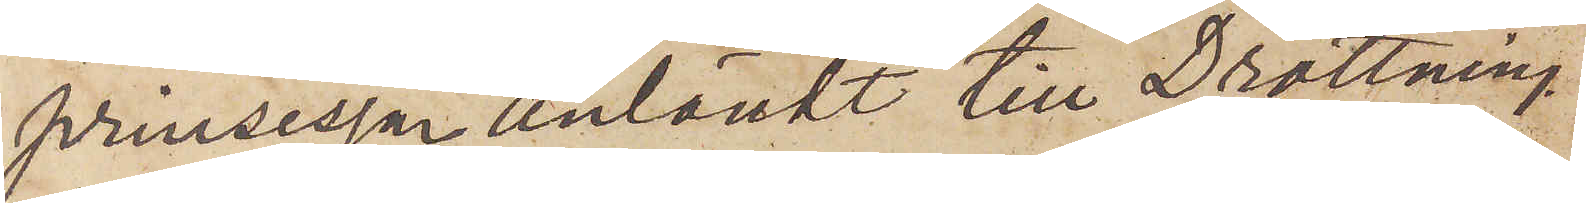prinsessan anländt till Drottning¬
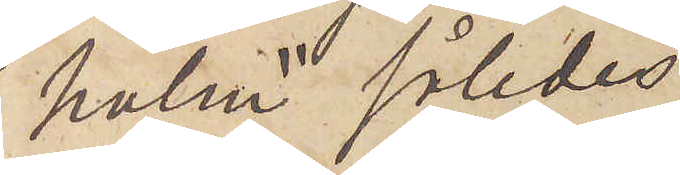holm" således
